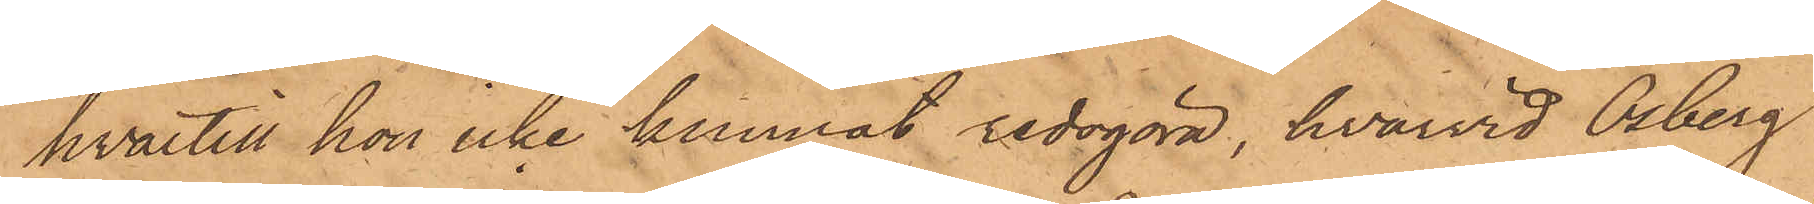hvartill hon icke kunnat redogöra, hvarvid Osberg
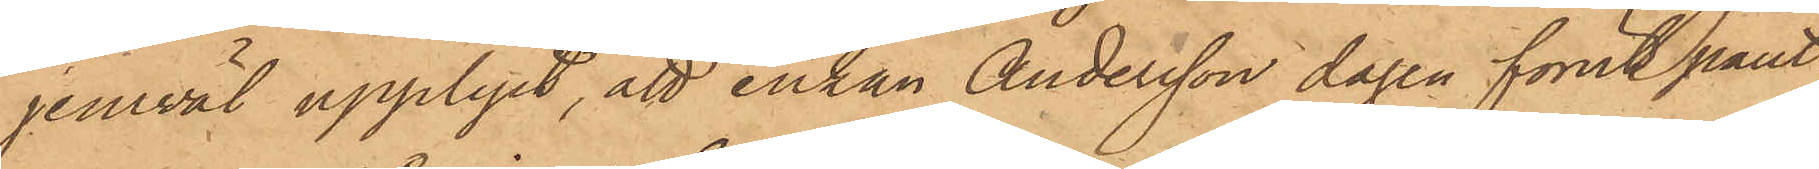jemväl upplyst, att enkan Andersson dagen förut pant¬
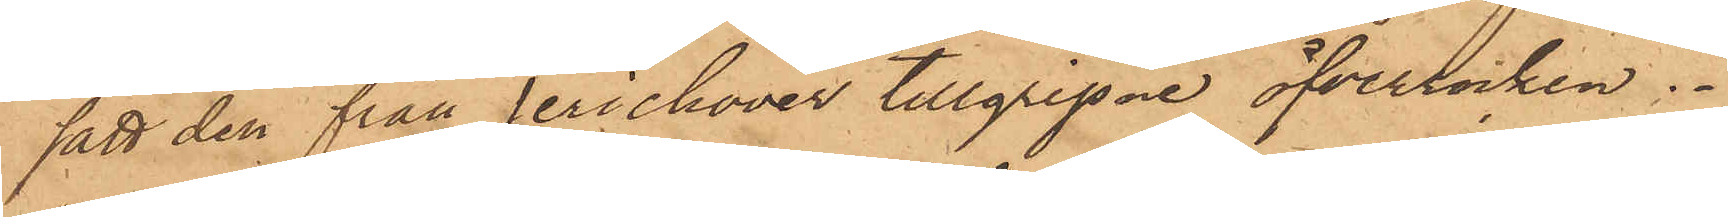satt den från Jerichover tillgripne öfverrocken.
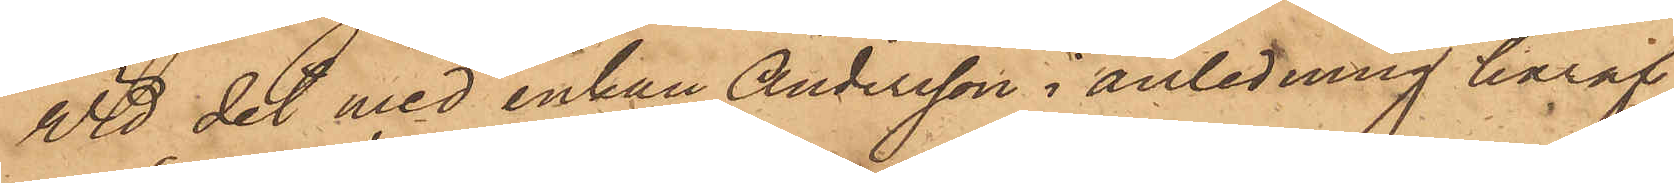Vid det med enkan Andersson i anledning häraf
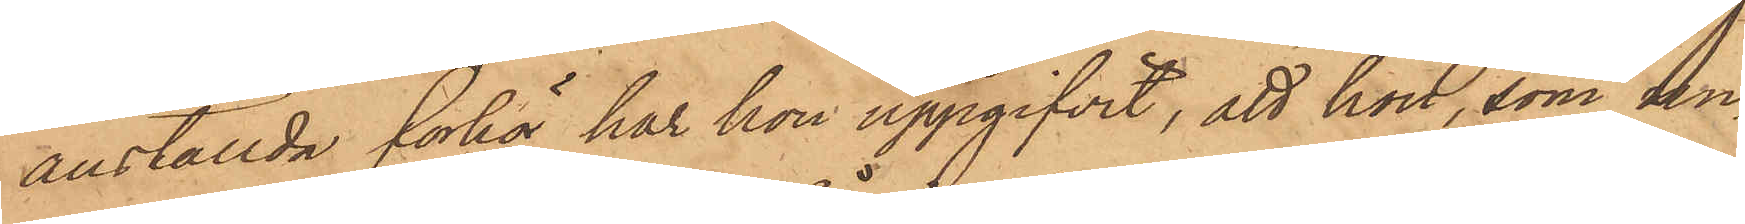anställda förhör har hon uppgifvit, att hon, som un¬
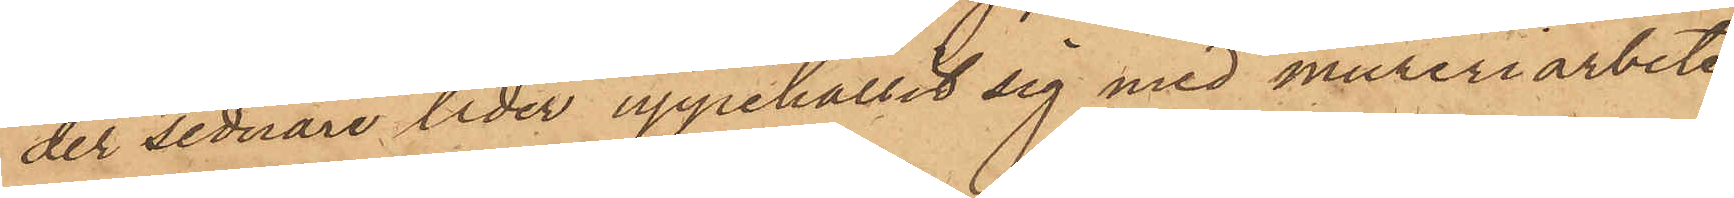der sednare tider uppehållit sig med mureriarbete
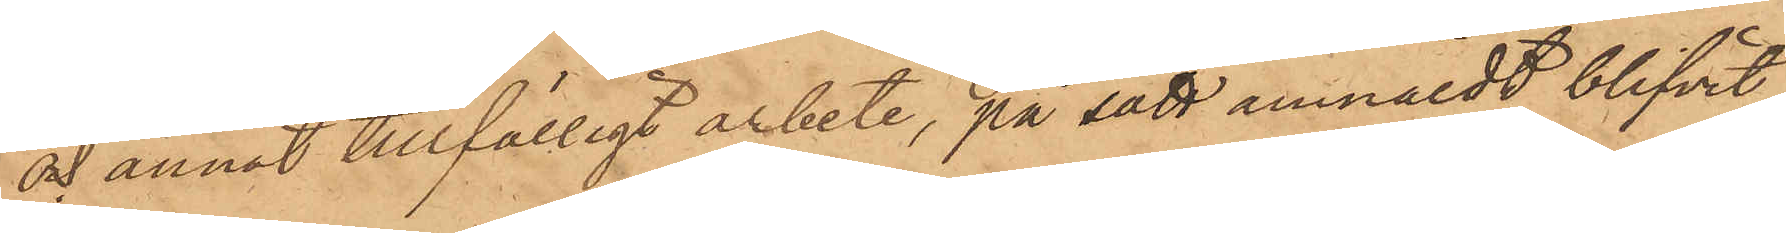och annat tillfälligt arbete, på sätt anmäldt blifvit
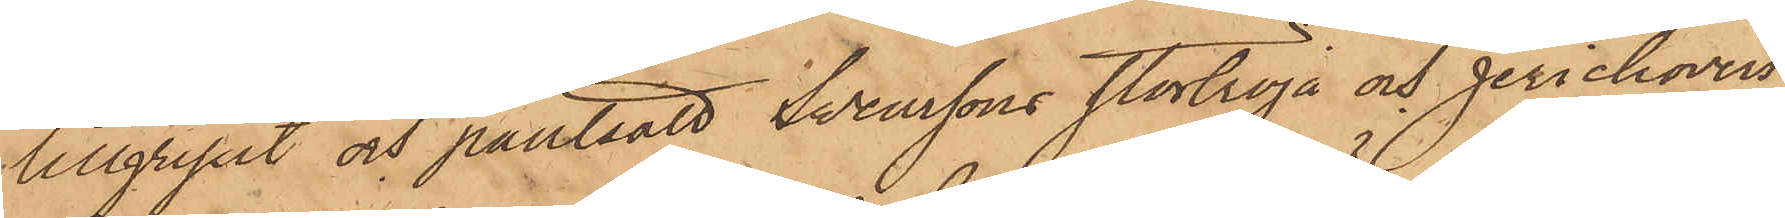tillgripit och pantsatt Svenssons stortröja och Jerichovers
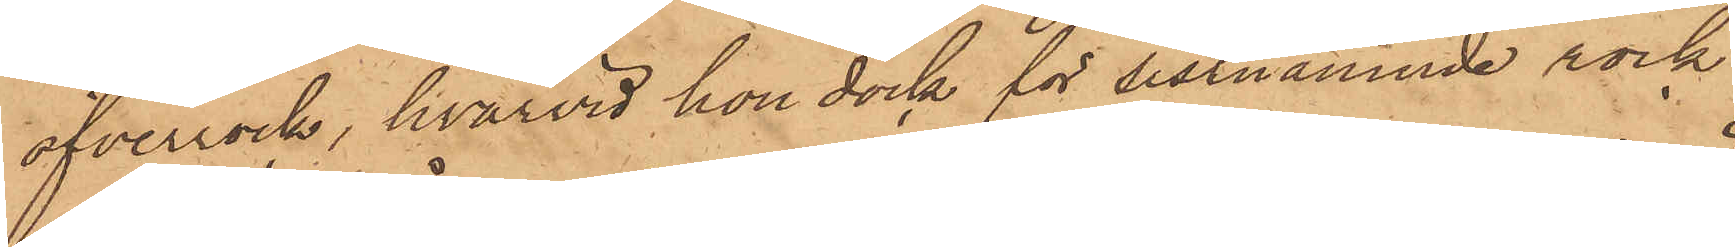öfverrock, hvarvid hon dock för sistnämnde rock
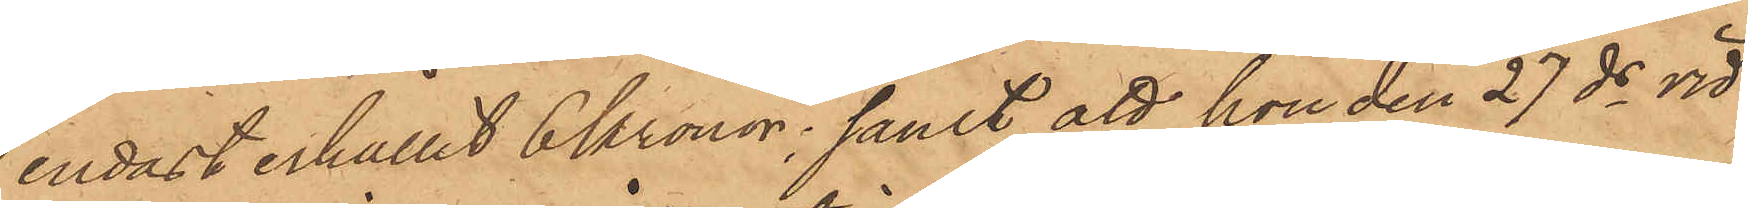endast erhållit 6 Kronor; samt att hon den 27 ds vid
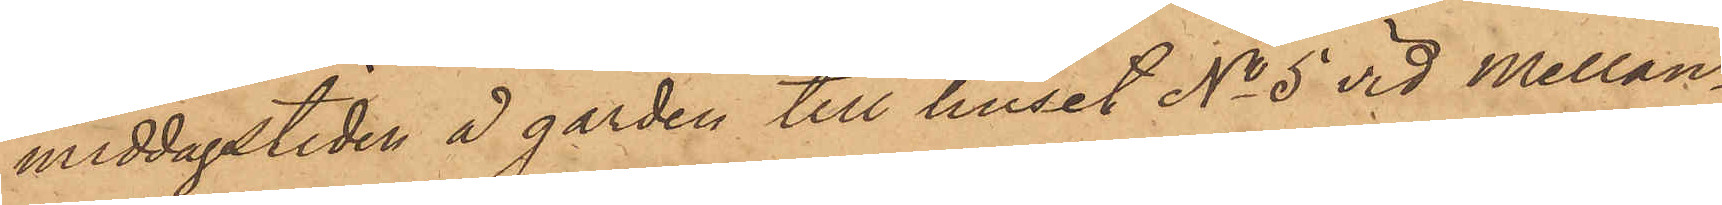middagstiden å gården till huset No 5 vid Mellan¬
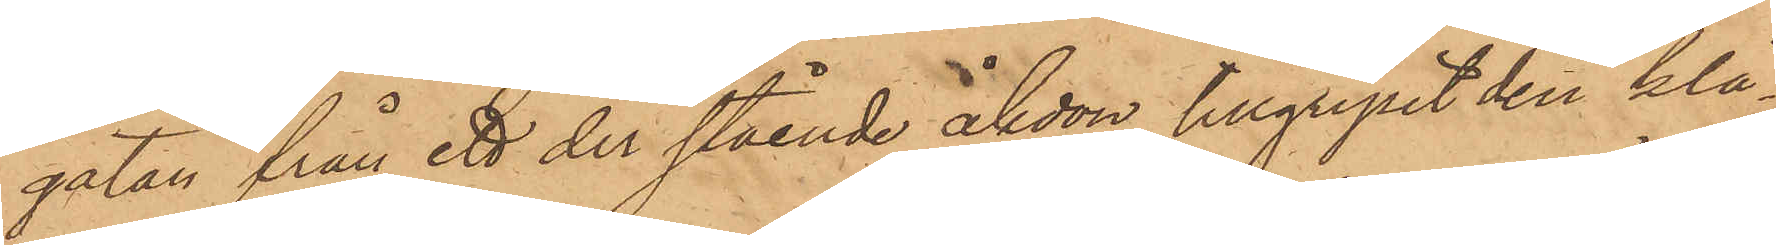gatan från ett der stående åkdon tillgripit den klä¬
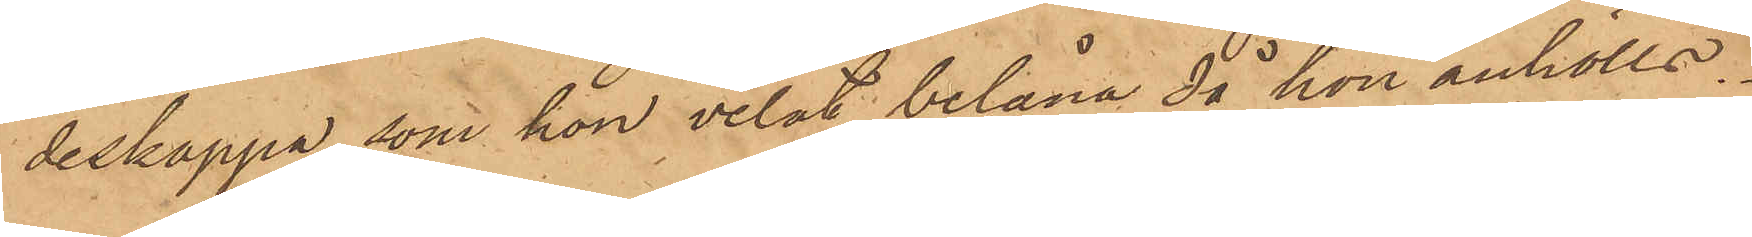deskappa, som hon velat belåna då hon anhölls.
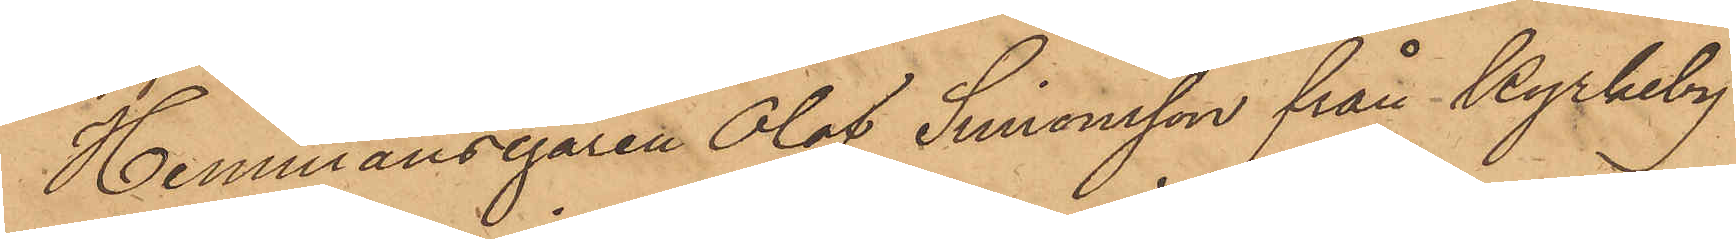Hemmansegaren Olof Simonsson från Kyrkeby
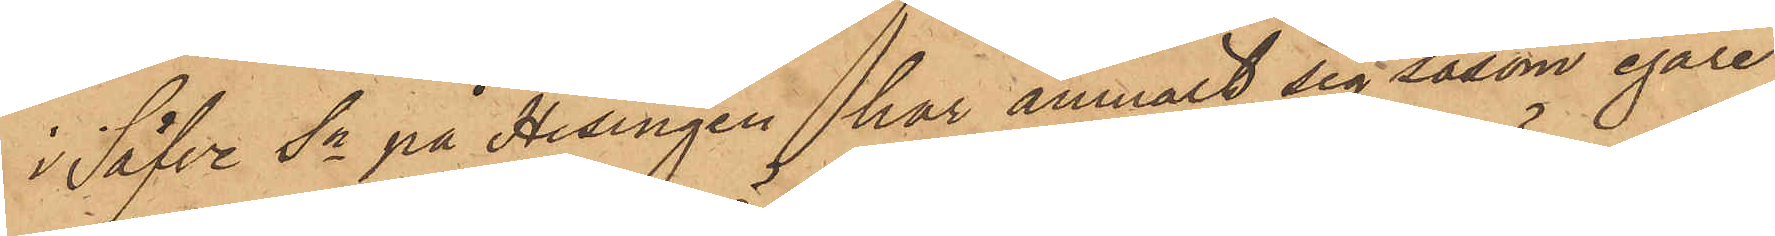i Säfve sn på Hisingen har anmält sig såsom egare
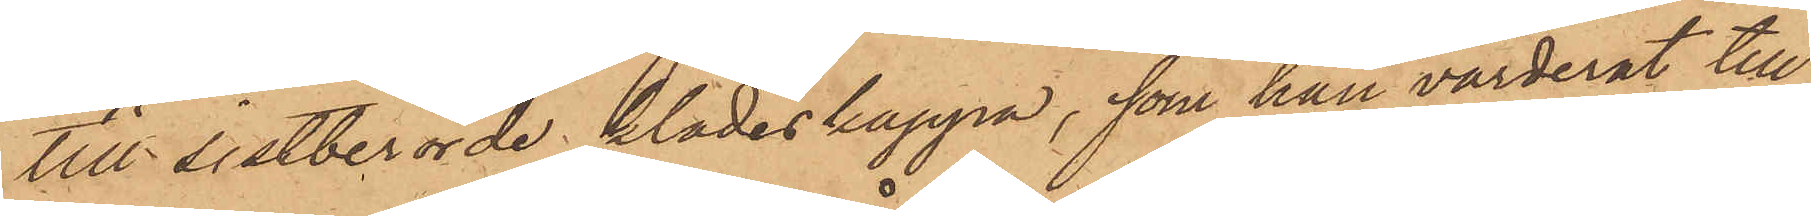till sistberörde klädeskappa, som han värderat till
